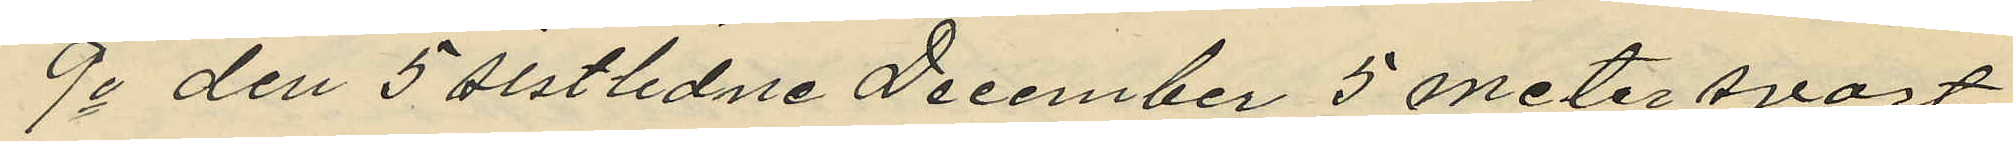9o den 5 sistlidne December 5 meter svart
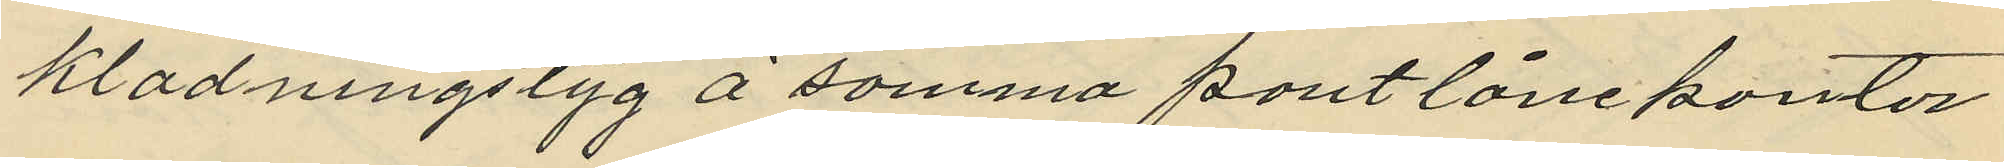klädningstyg å samma pantlånekontor
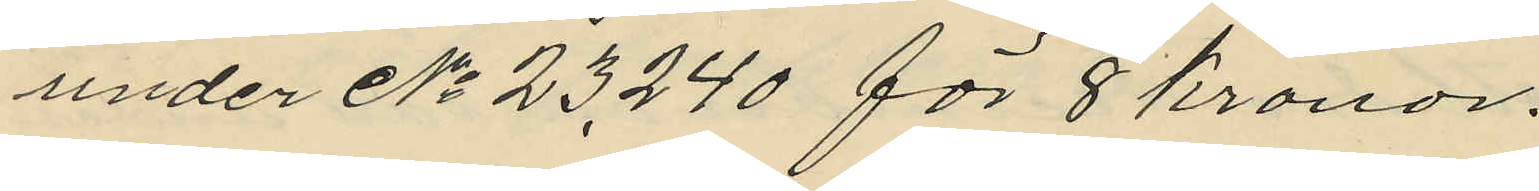under No 23240 för 8 kronor.
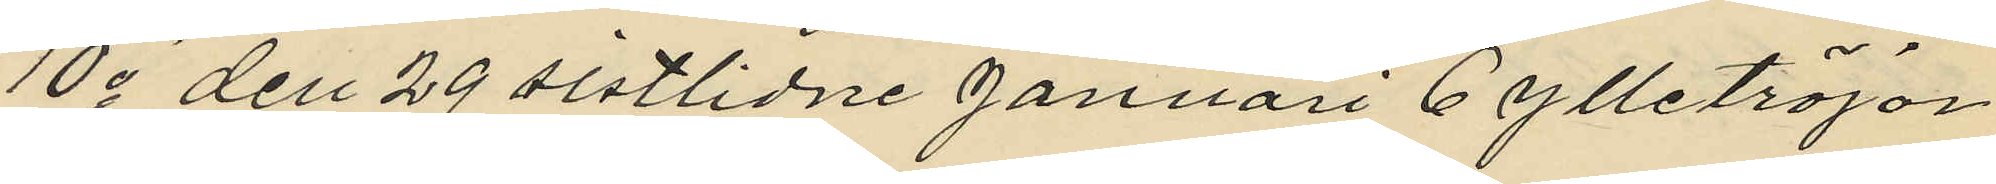10o den 29 sistlidne Januari 6 ylletröjor
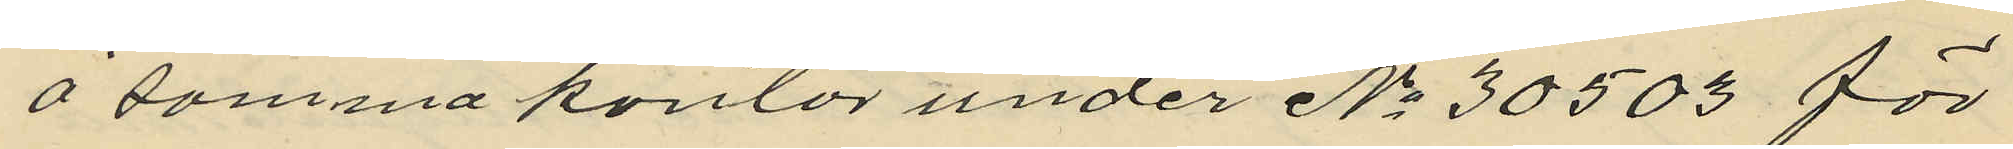å samma kontor under No 30503 för
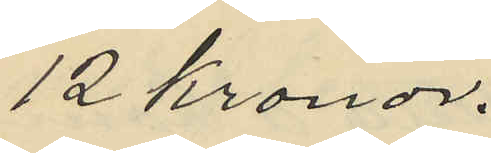12 Kronor.
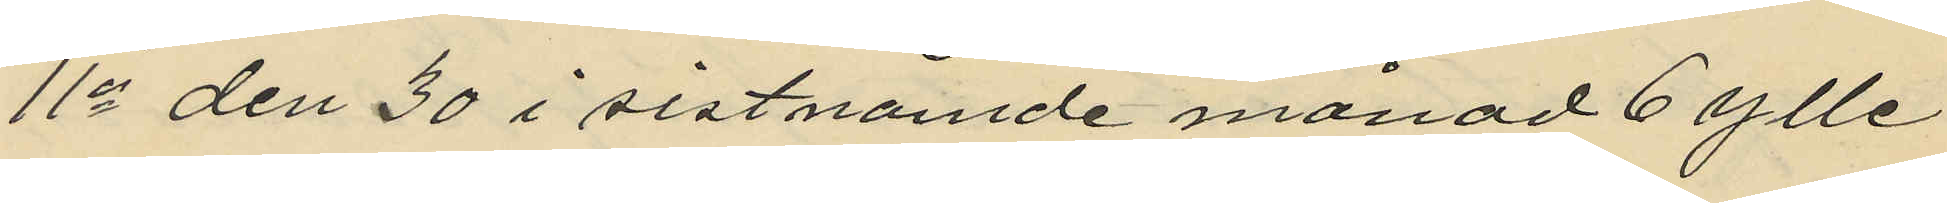11o den 30 i sistnämde månad 6 ylle
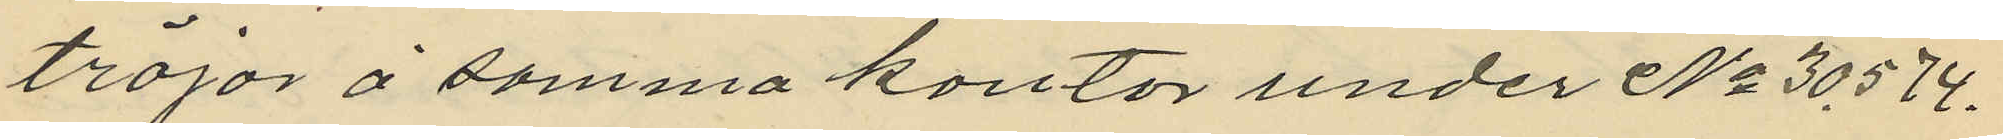tröjor å samma kontor under No 30574.
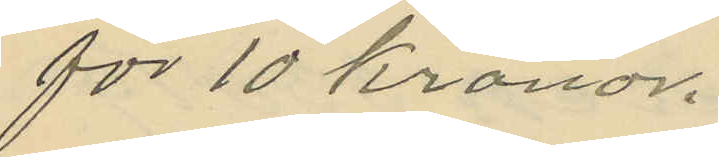för 10 kronor.
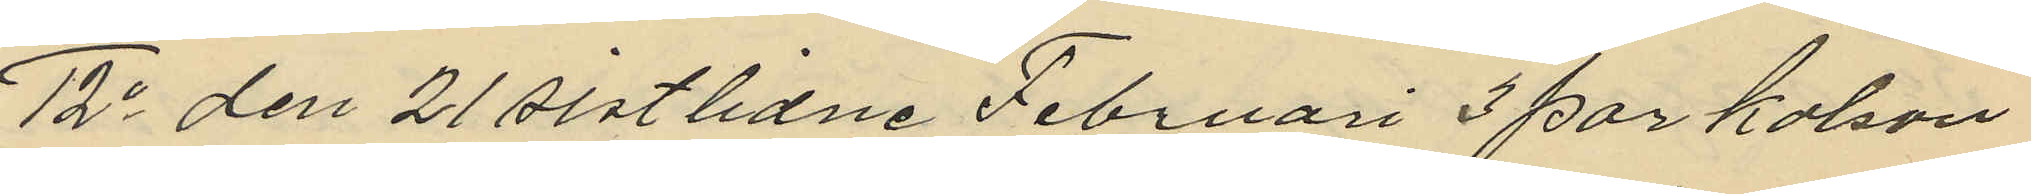12o den 21 sistlidne Februari 3 par kalson¬
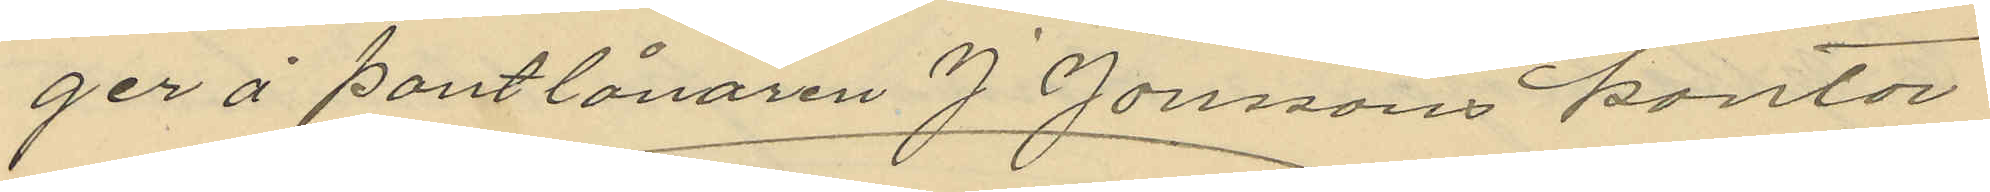ger å pantlånaren J Jonssons kontor
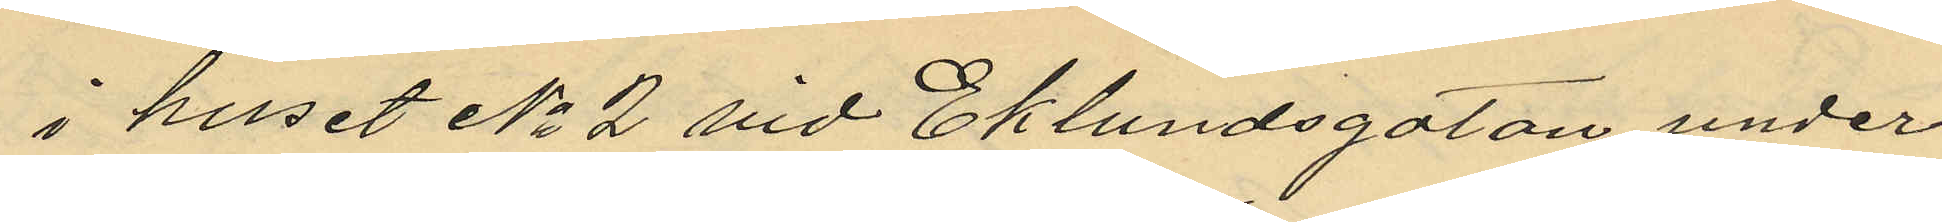i huset No 2 vid Eklundsgatan under
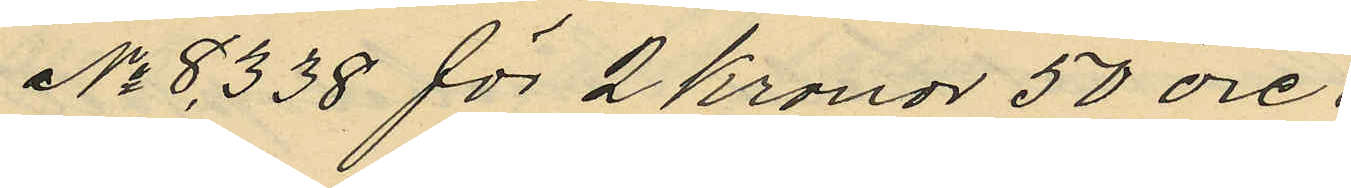No 8,338 för 2 Kronor 50 öre.
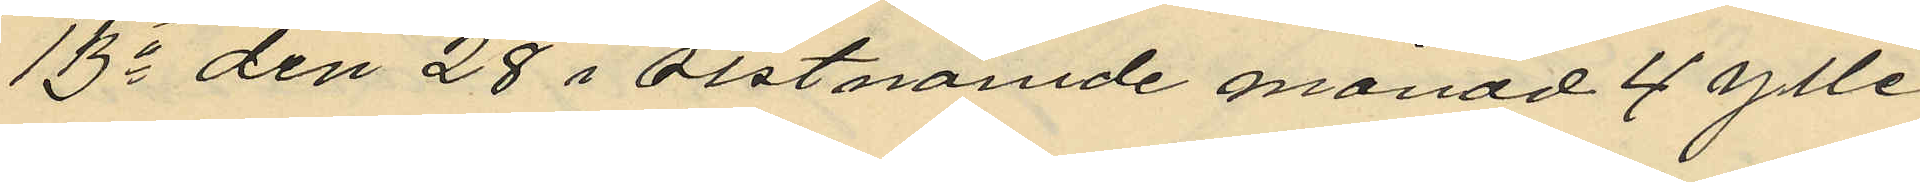13o den 28 i sistnämde månad 4 ylle
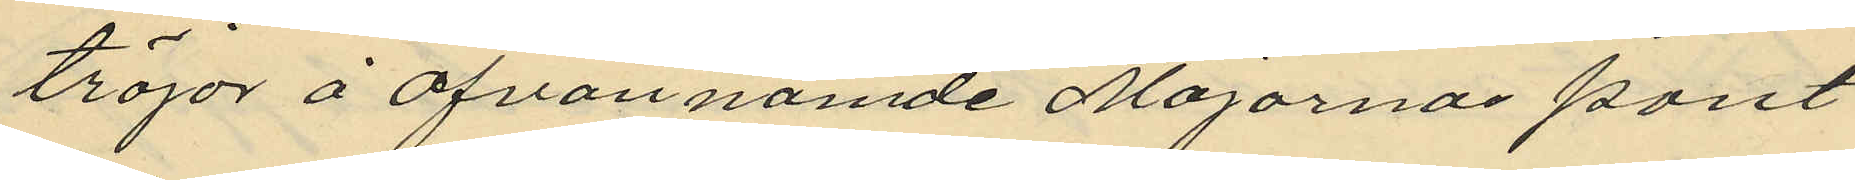tröjor å ofvannämde Majornas pant¬
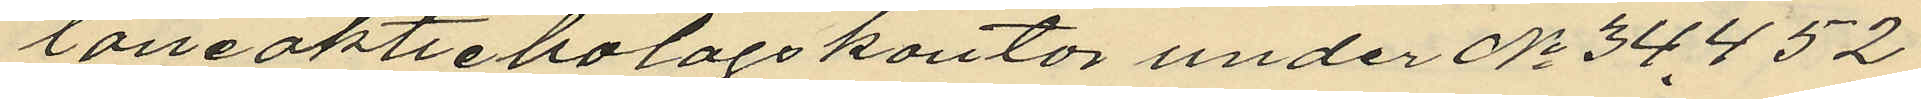låneaktiebolagskontor under No 34452
